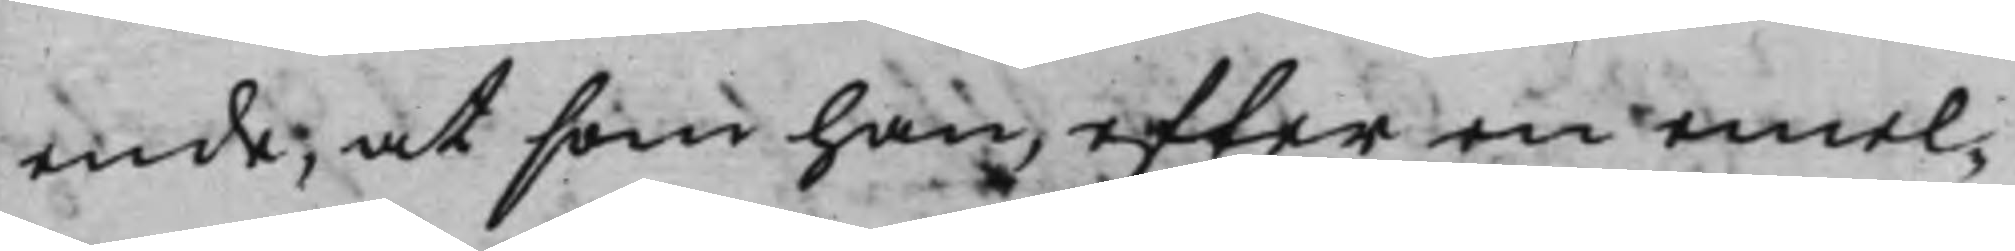ende, at som han, efter en emel¬
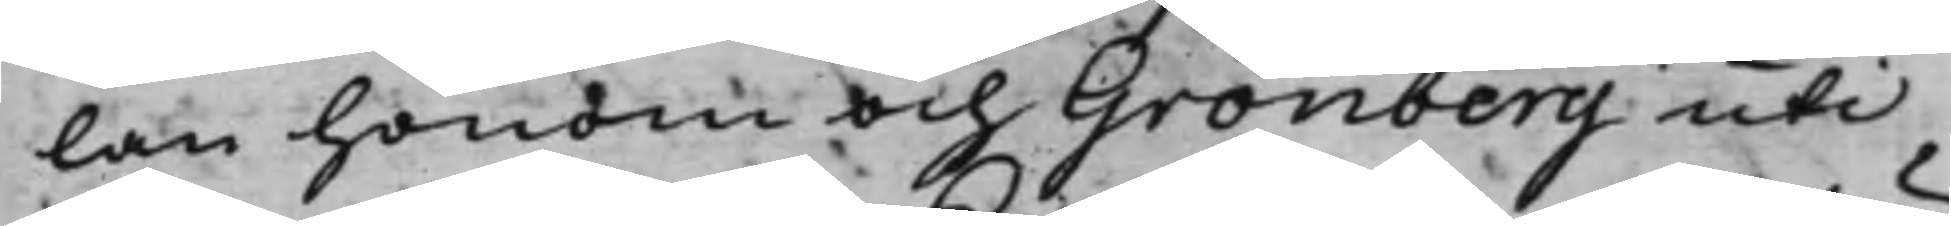lan honom och Grönberg uti
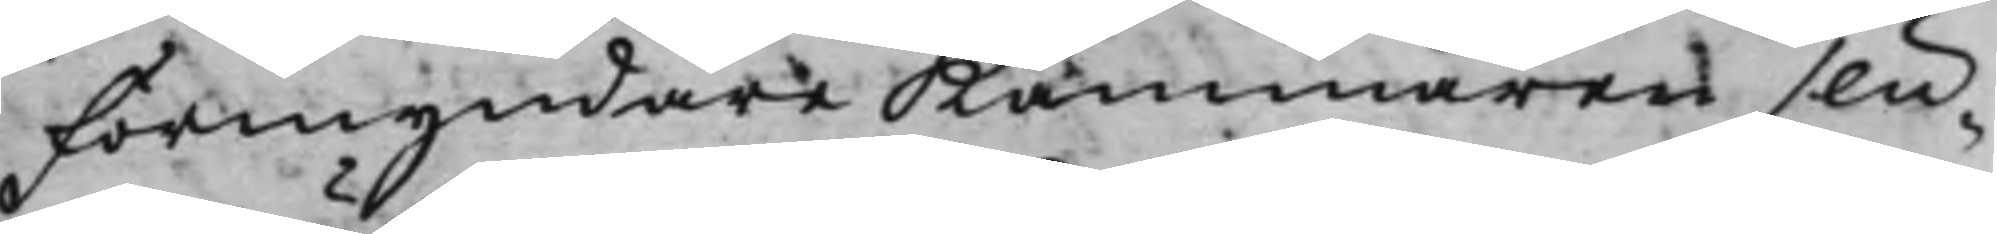FörmyndareKammaren slu¬
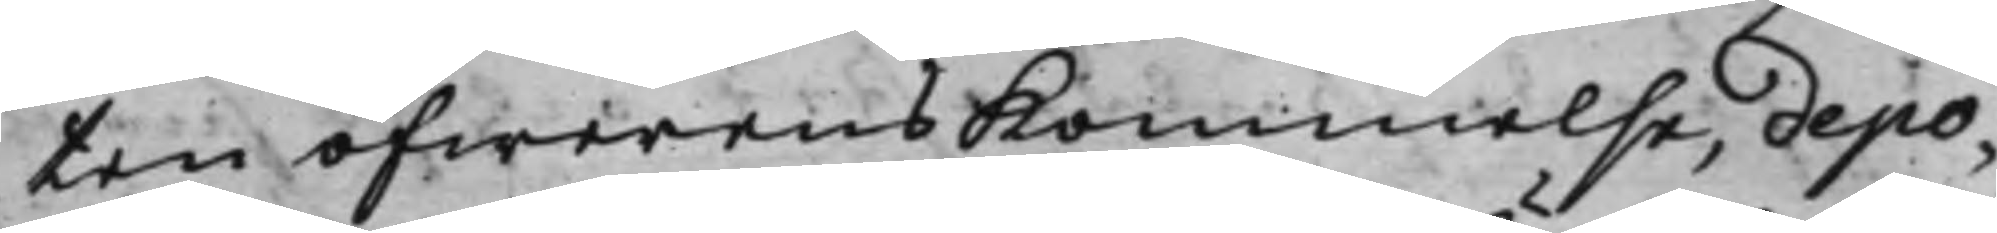ten öfwerenskommelse, depo¬
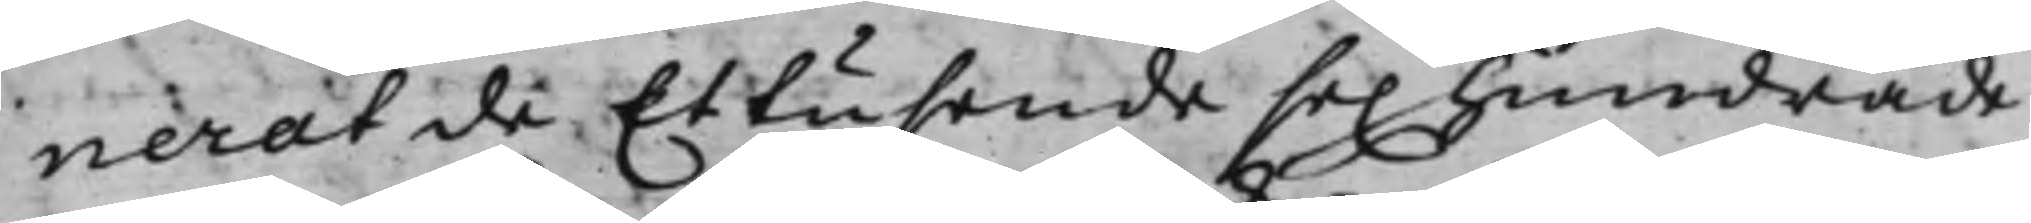nerat de Et tusende sex hundrade
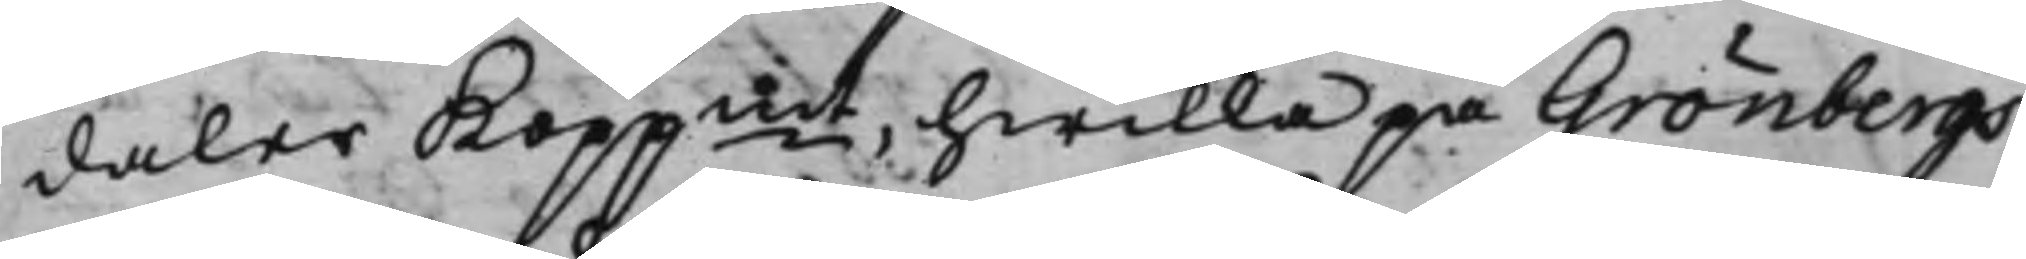daler Koppmt, hwilka på Grönbergs
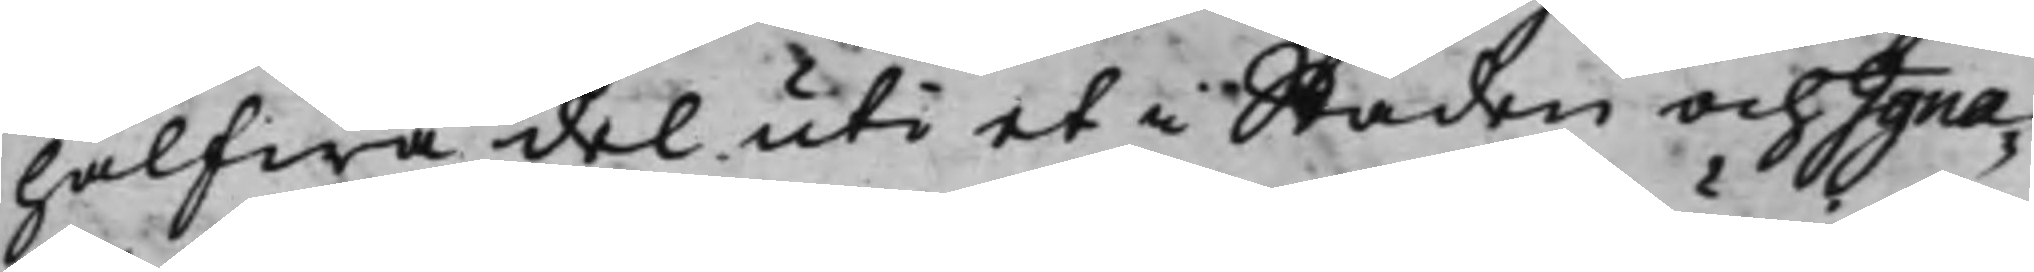halfwa del uti et i Staden och Igna¬
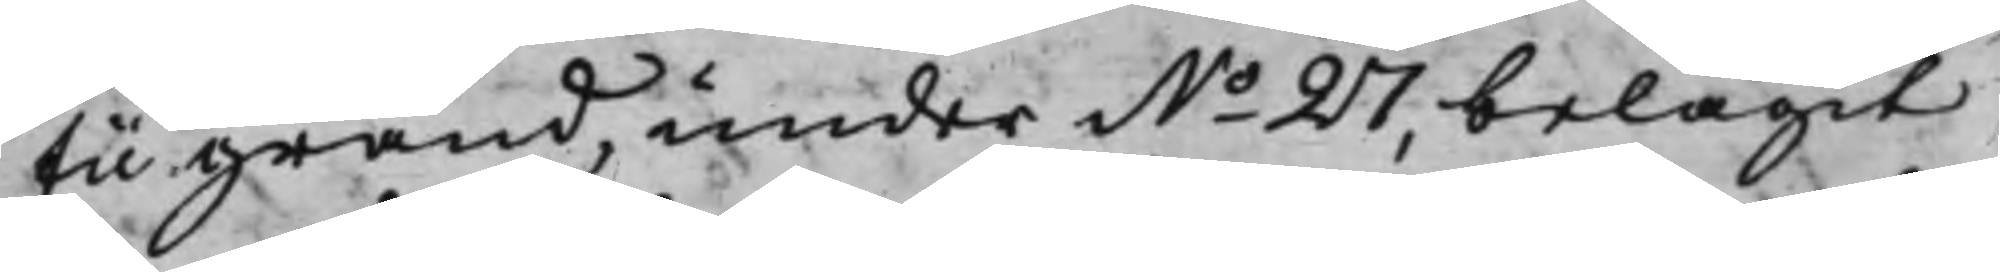tii gränd, under No 27, belägit
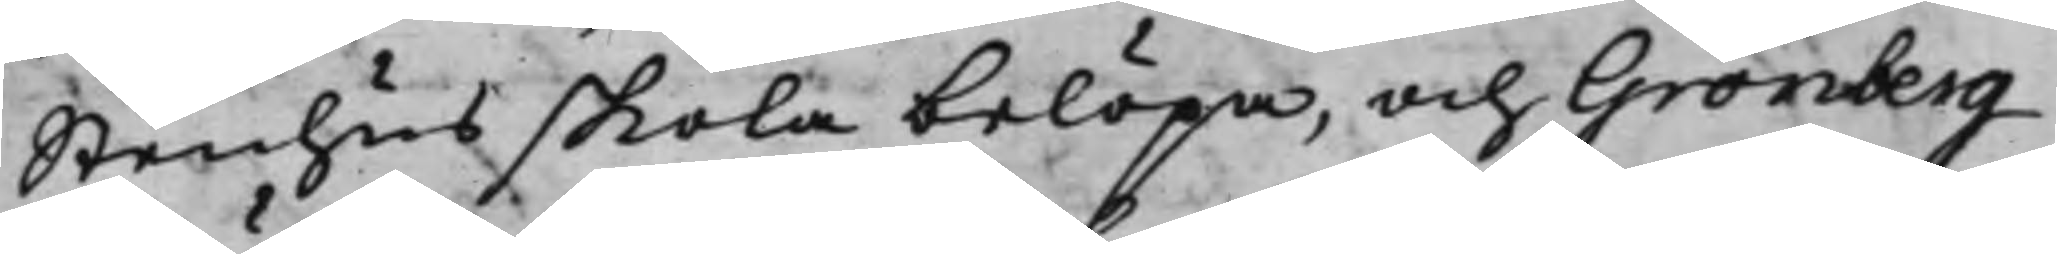Stenhus skola belöpa, och Grönberg
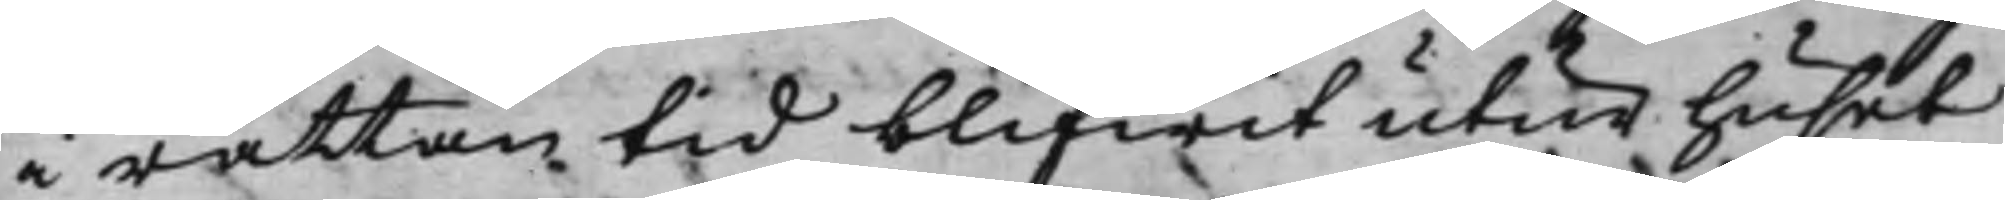i rättan tid blifwit utur huset
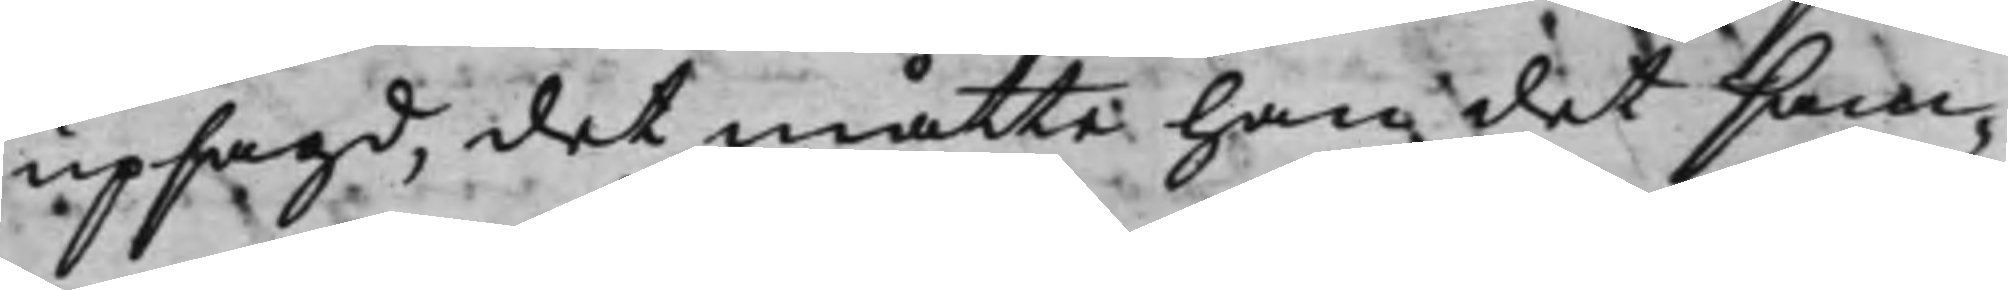upsagd, det måtte han det sam¬
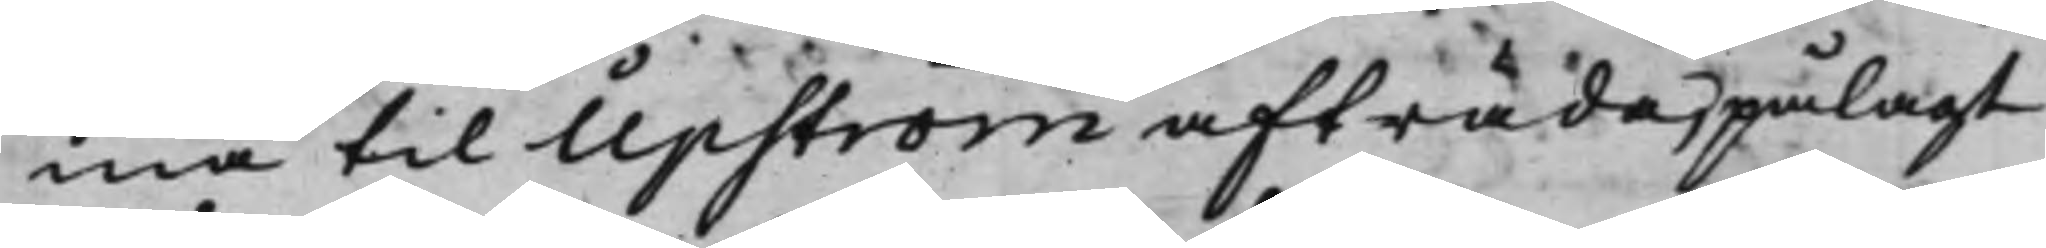ma til Upström afträda, pålagt
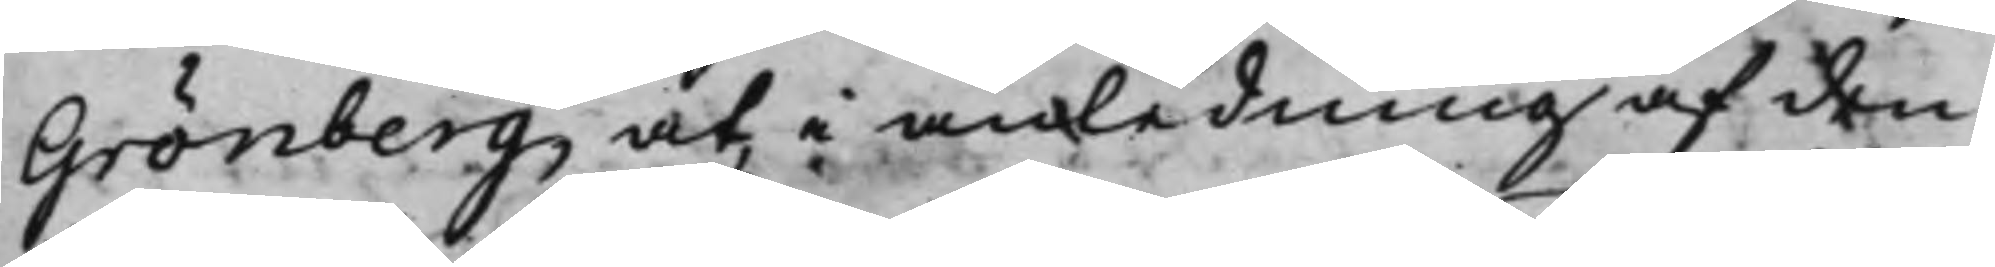Grönberg, at i anledning af den
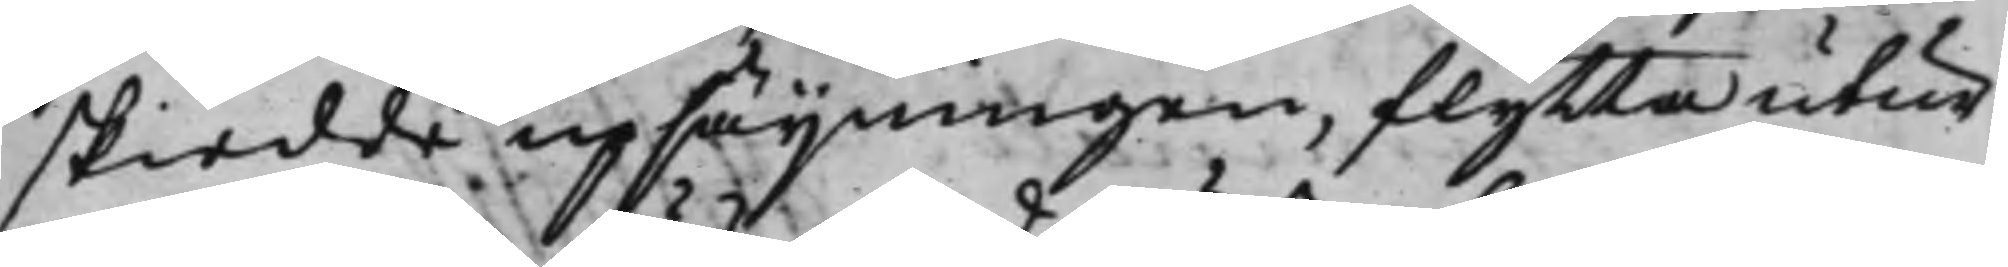skiedde upsäijningen, flytta utur
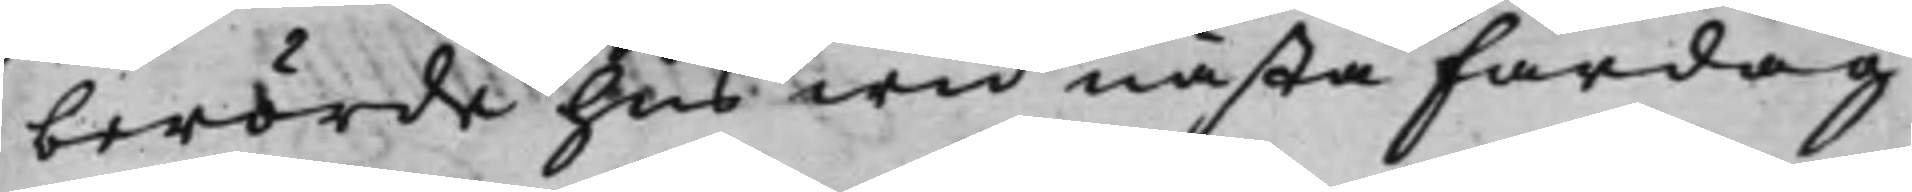berörde hus wid nästa Fardag
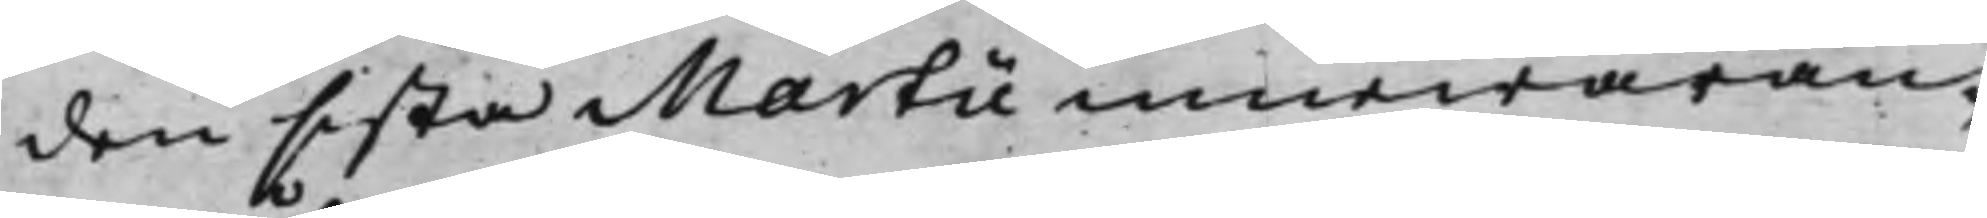den sista Martii innewaran¬
